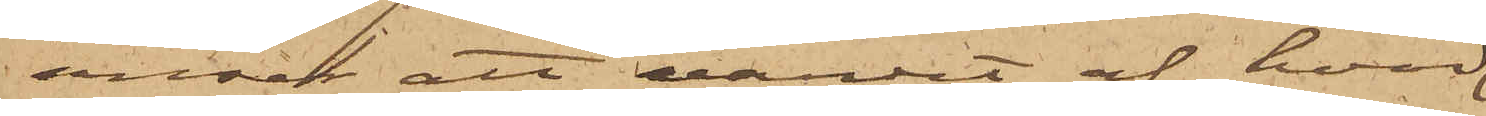anser att värdet af hvad
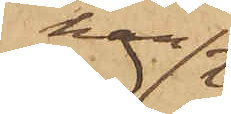han
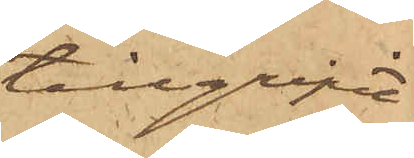tillgripit
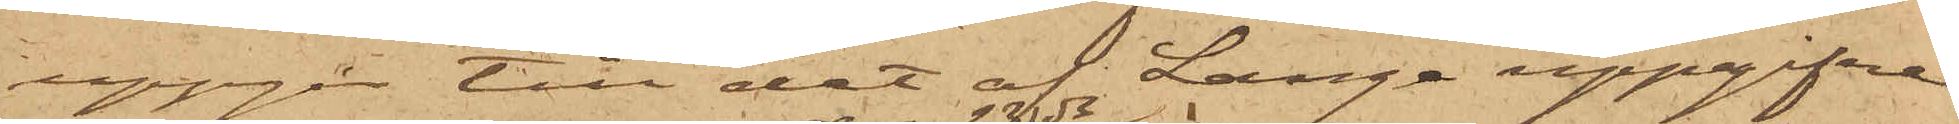uppgår till det af Lange uppgifne
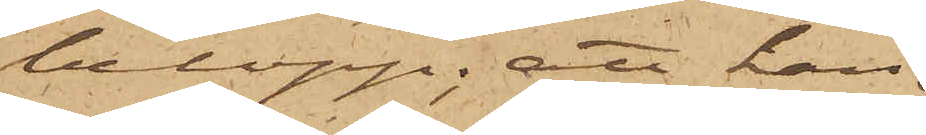belopp; att han
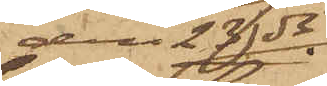den 23 ds
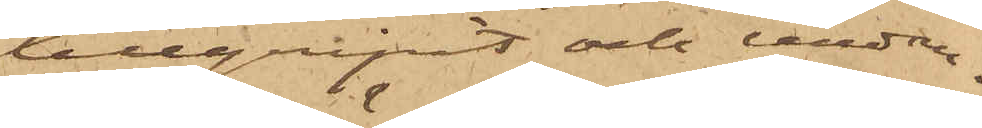tillgripit och undan¬
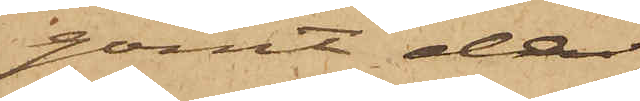gömt de
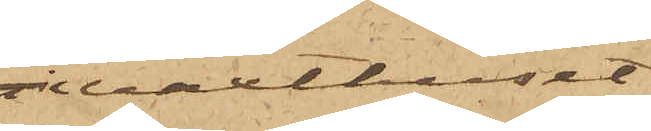i växthuset
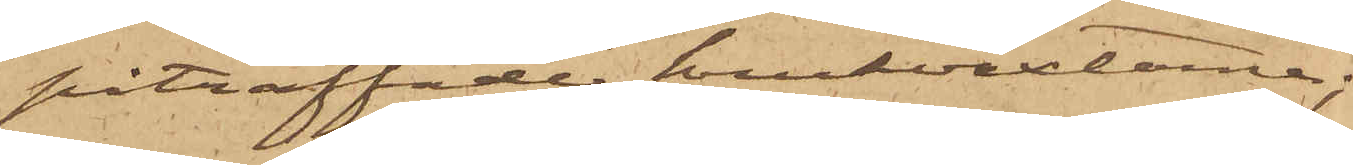påträffades krukväxterna;
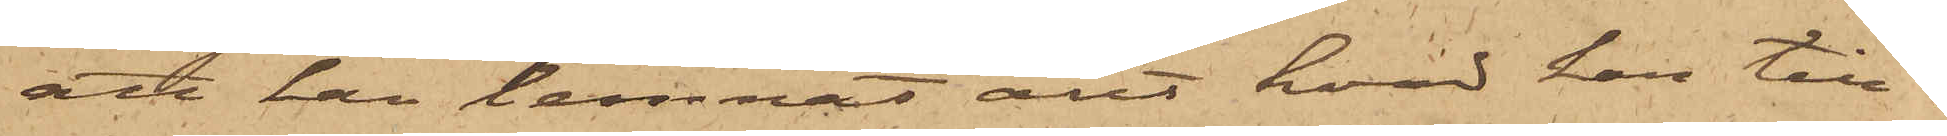att han lemnat allt hvad han till¬
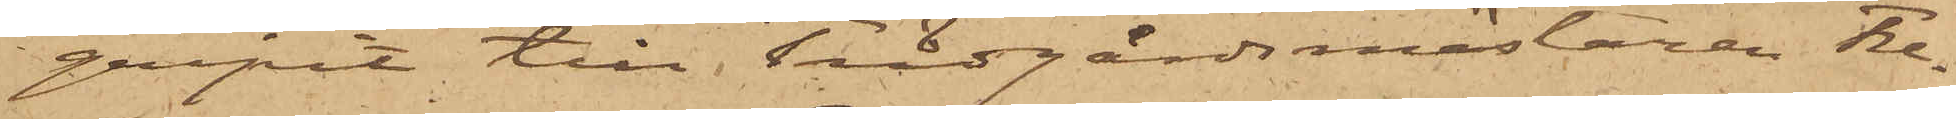gripit till Trädgårdsmästaren Fre¬
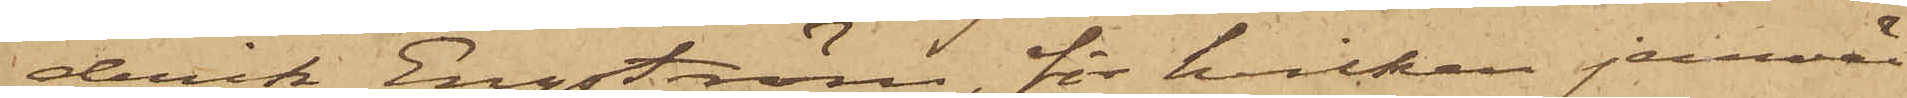derik Engström, för hvilken jemväl
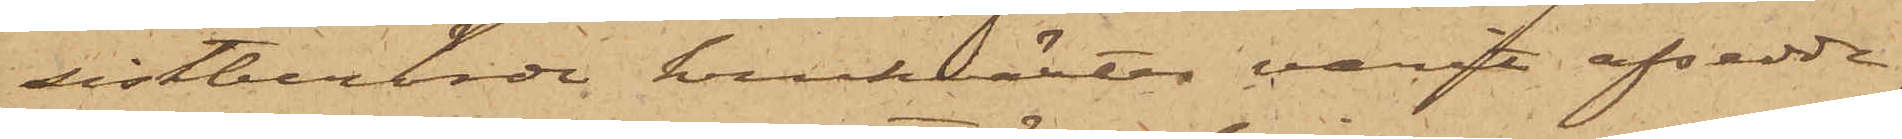sistberörde krukväxter varit afsedde,
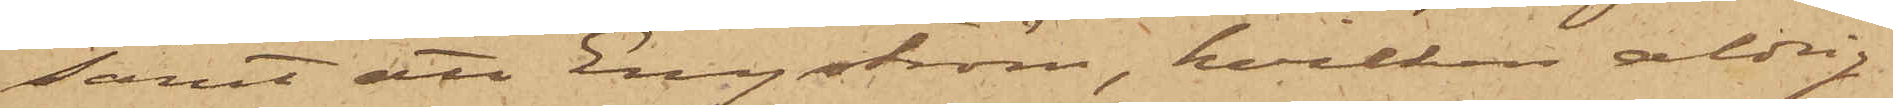samt att Engström, hvilken aldrig
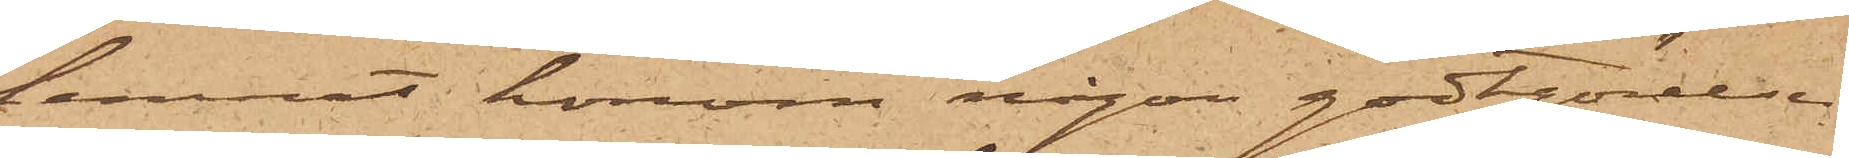lemnat honom någon godtgörelse
